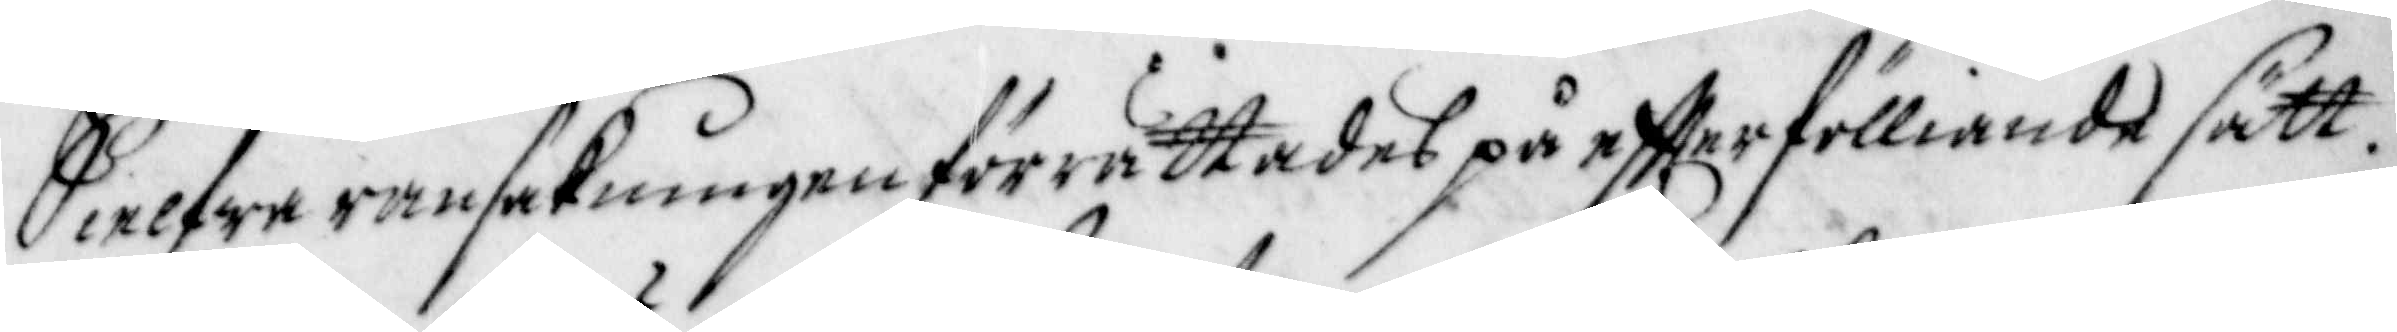Sielfwe ransakningen förrättades på effterfölliande sätt.
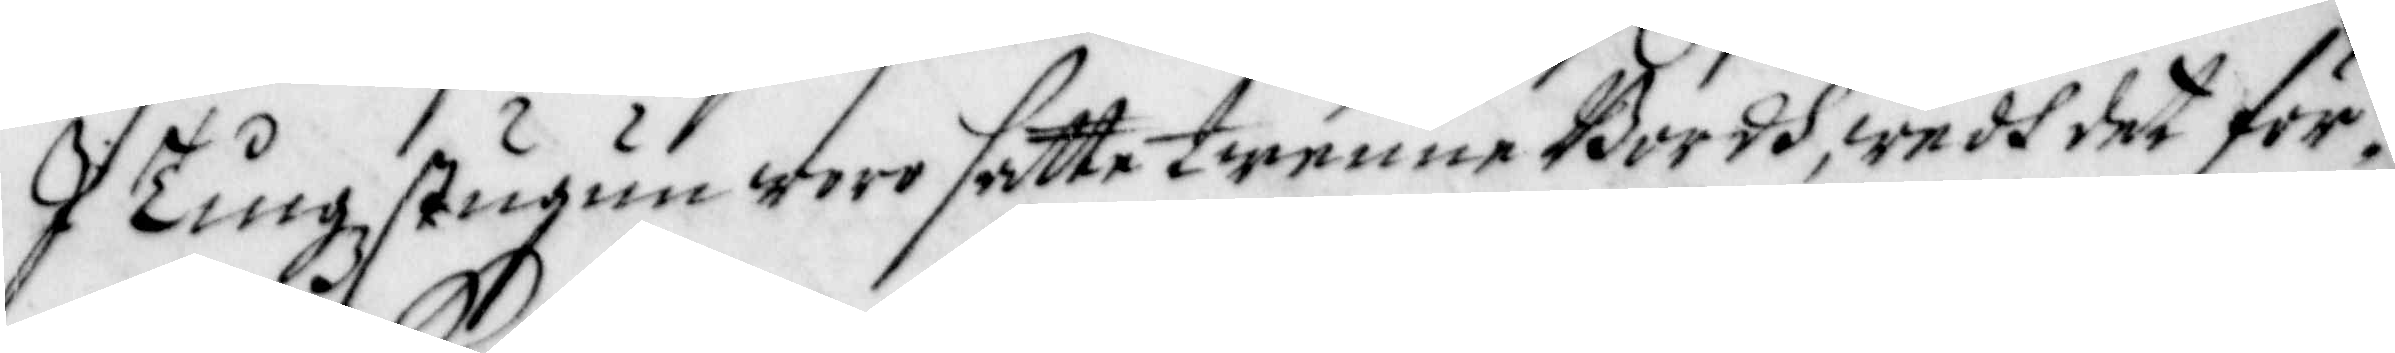I Tingzstugun woro satte twenne Bordh, wedh det för¬
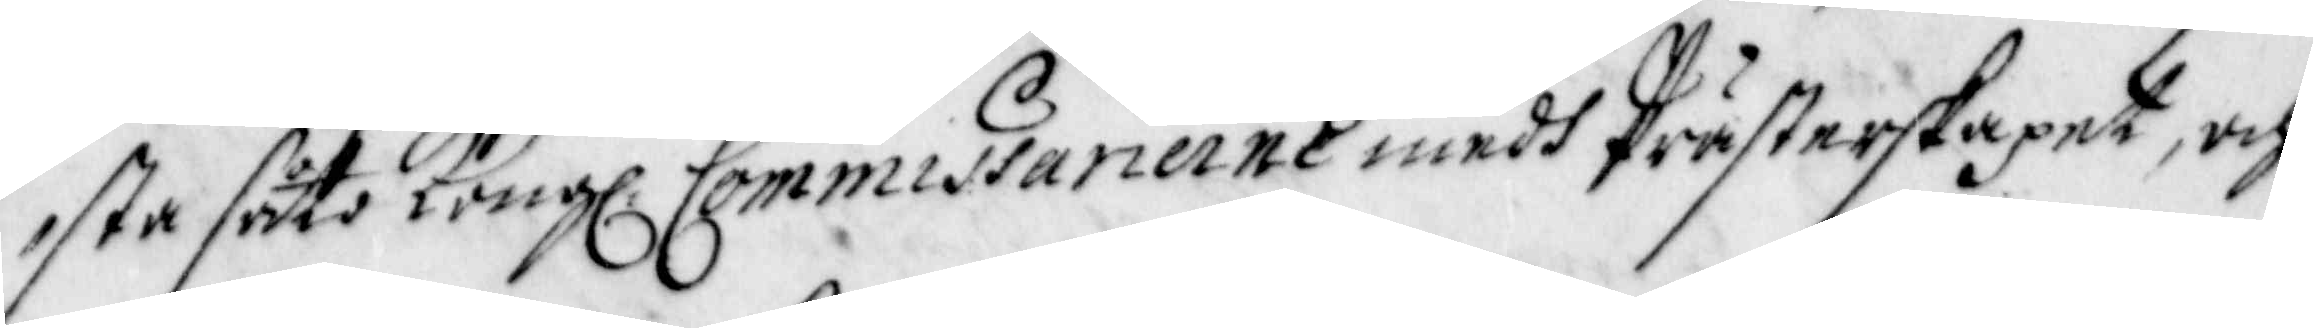sta såto Kong: Commisarierne medh Prästerstapet, och
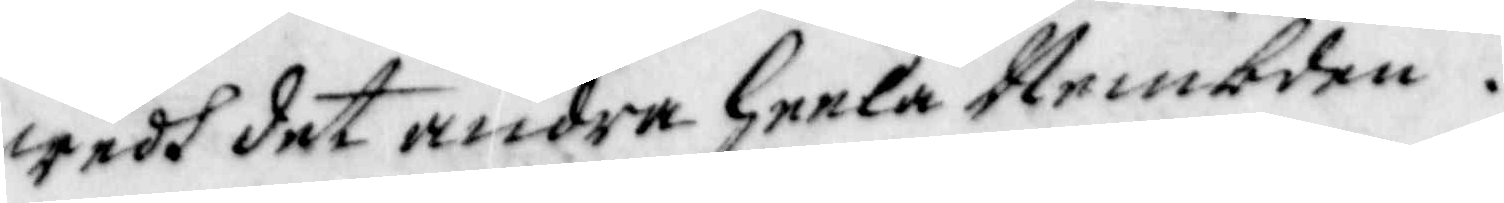wedh det andra heela Nembden.
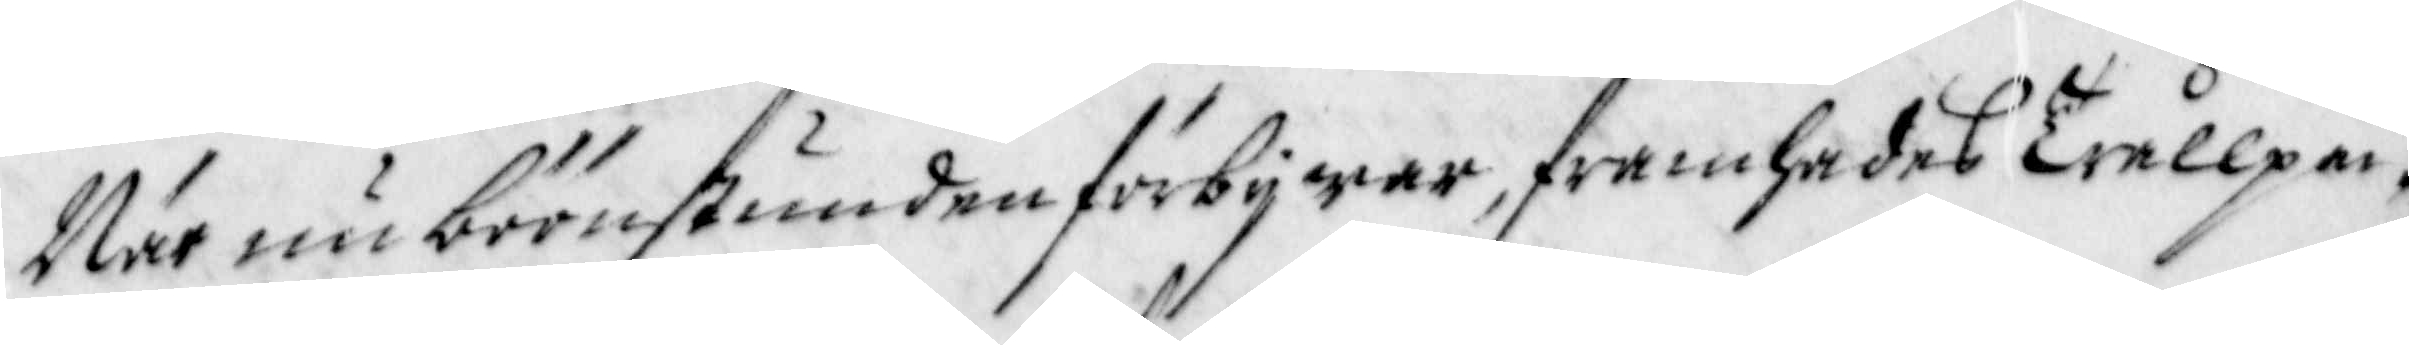När nu böönstunden förbij war, framhades Trållpa¬
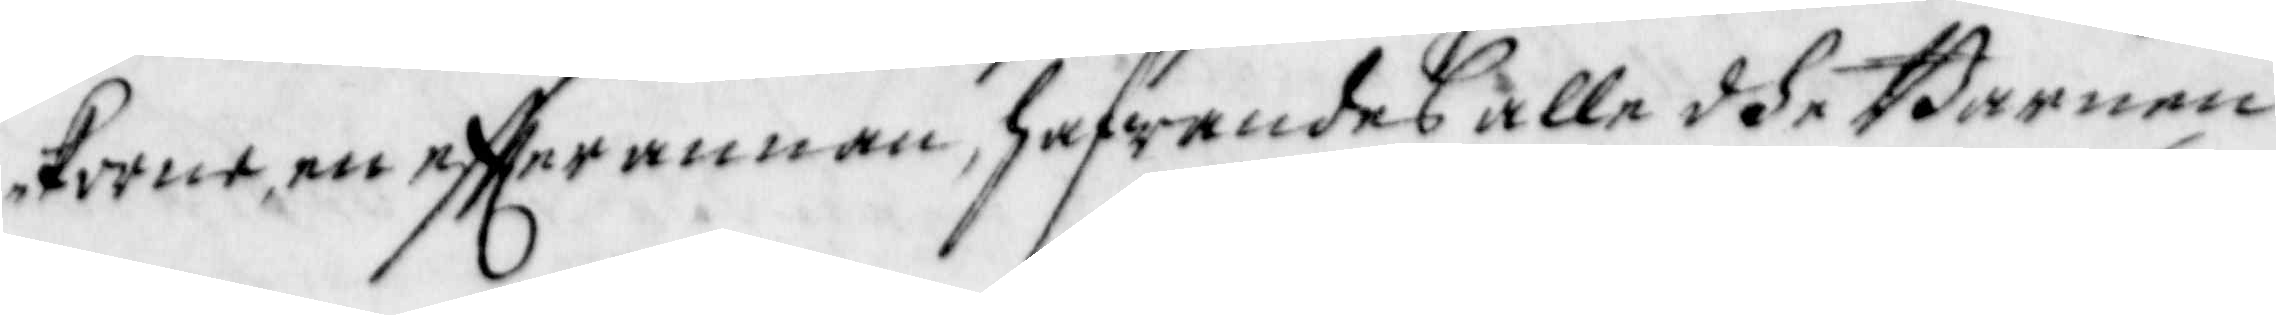korne, en effter annan, hafwandes alle dhe Barnen
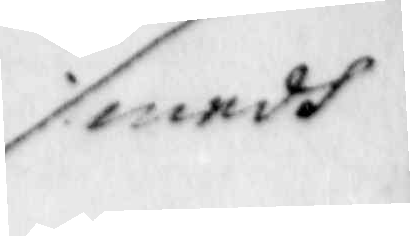medh
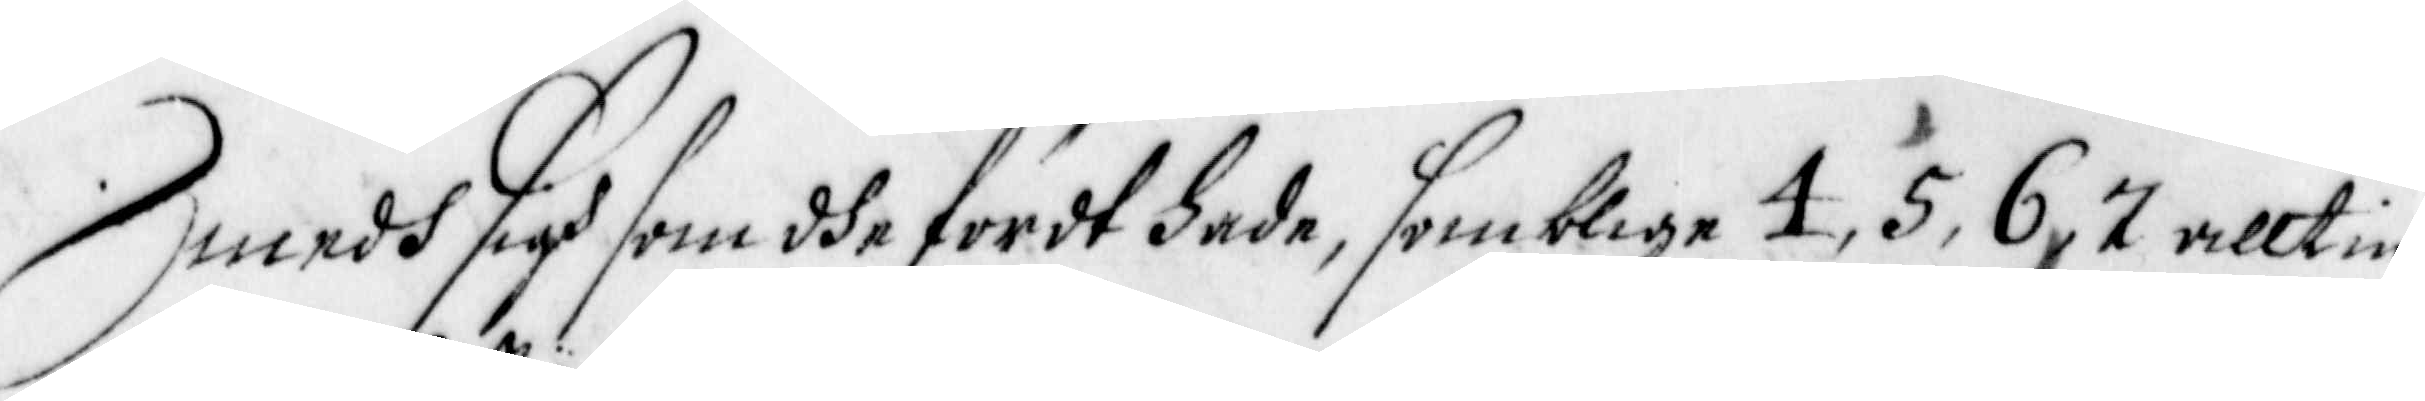medh sigh som dhe fördt hade, somblige 4, 5, 6, 7 allt in¬
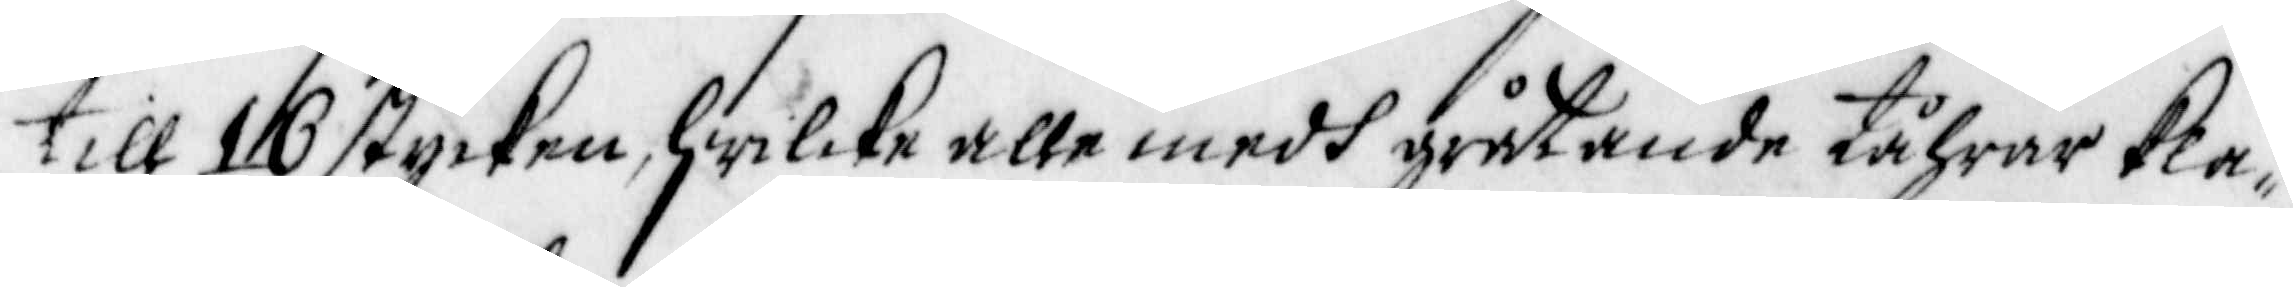till 10 stycken, hwilcka alle medh gråtande tåhrar kla¬
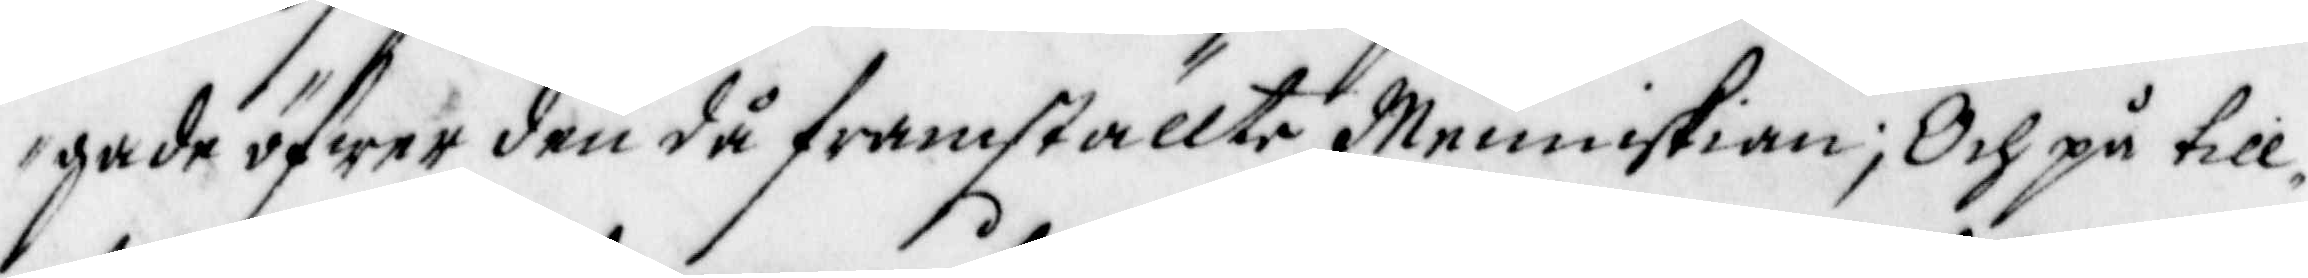gade öfwer den då framställte Menniskian; Och på till¬
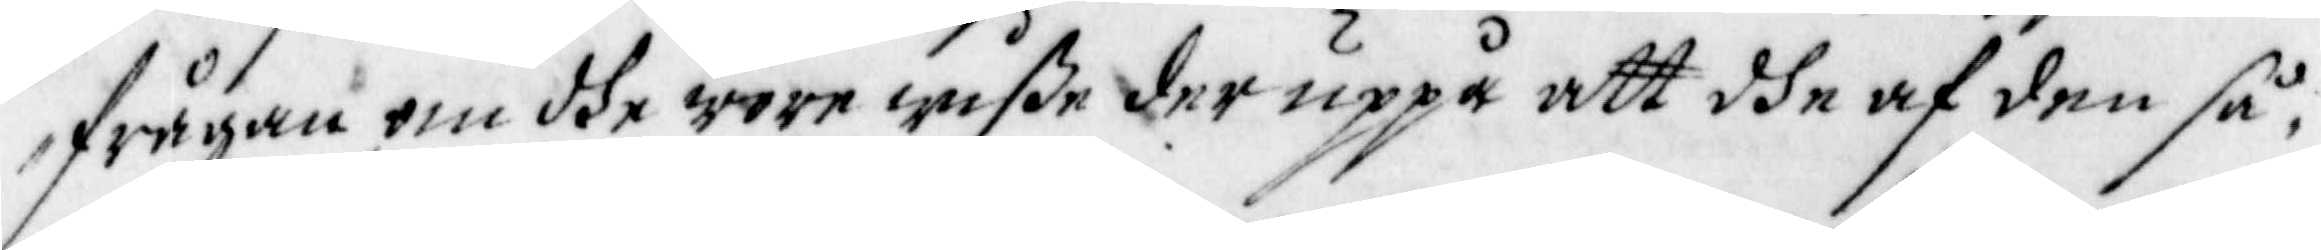frågan, om dhe wore wiße der uppå att dhe af den så¬
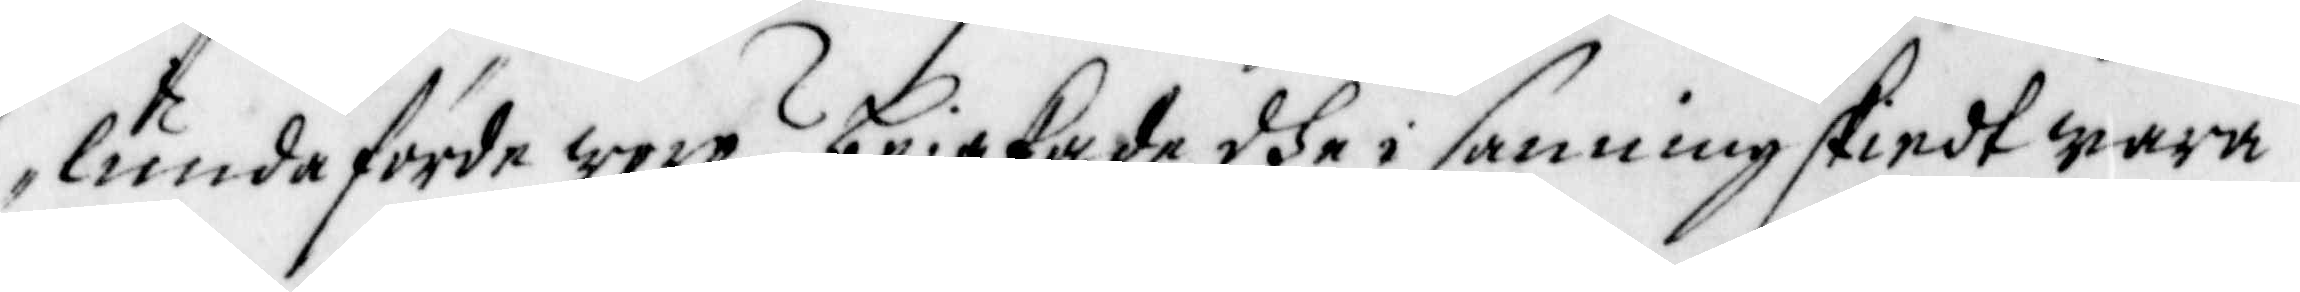lunda förde woro? bejakade dhe i sanning skiedt wara
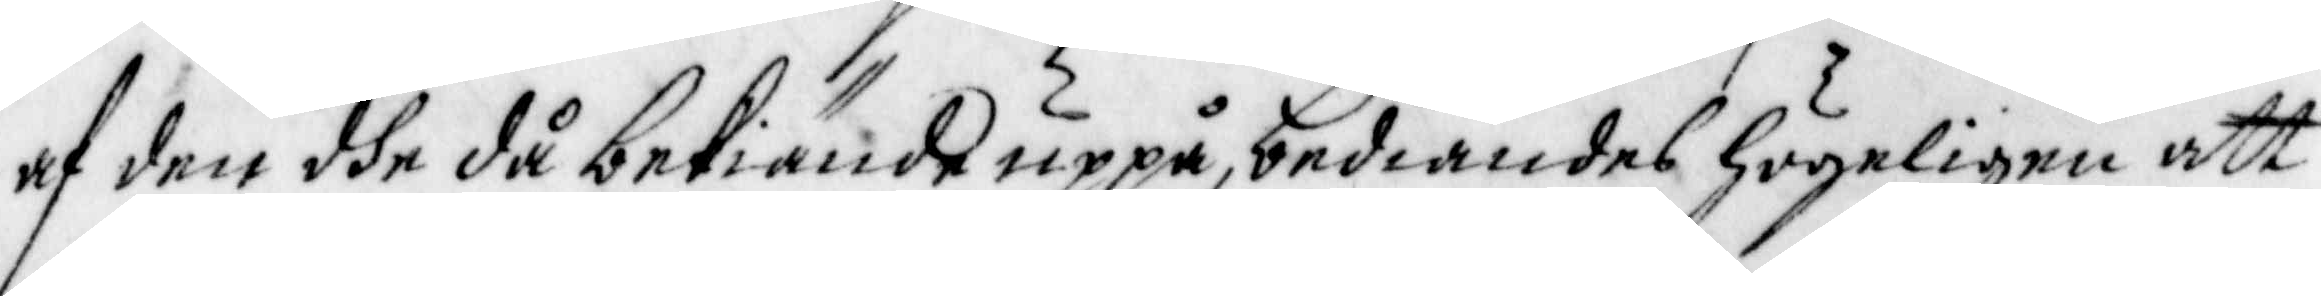af den dhe då bekiände uppå, bediandes högeligen att
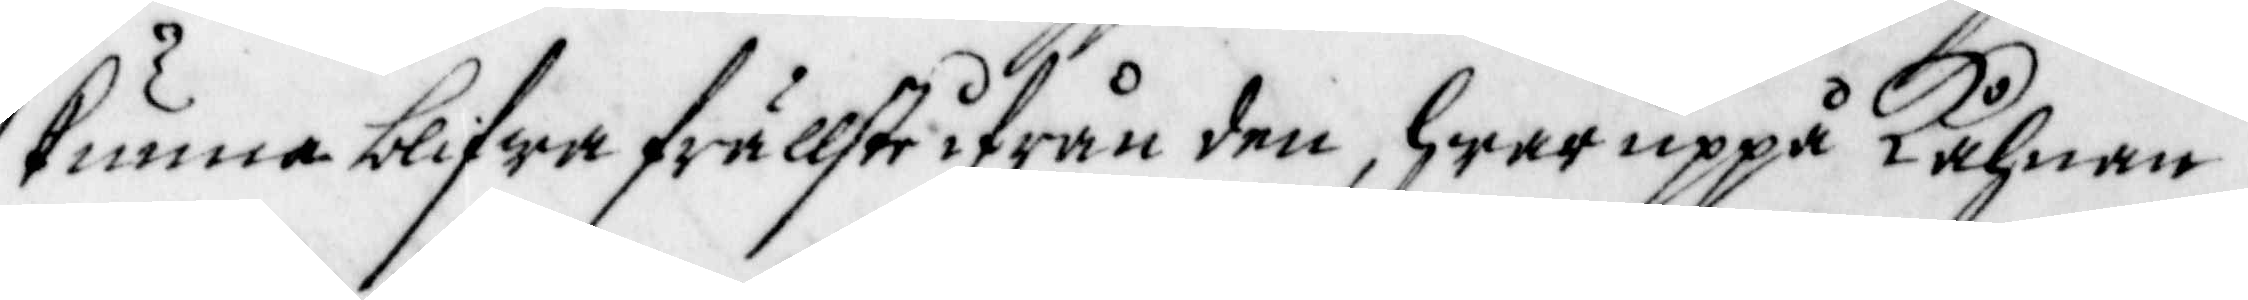kunna blifwa frällste ifrån den, hwaruppå Kåhnan
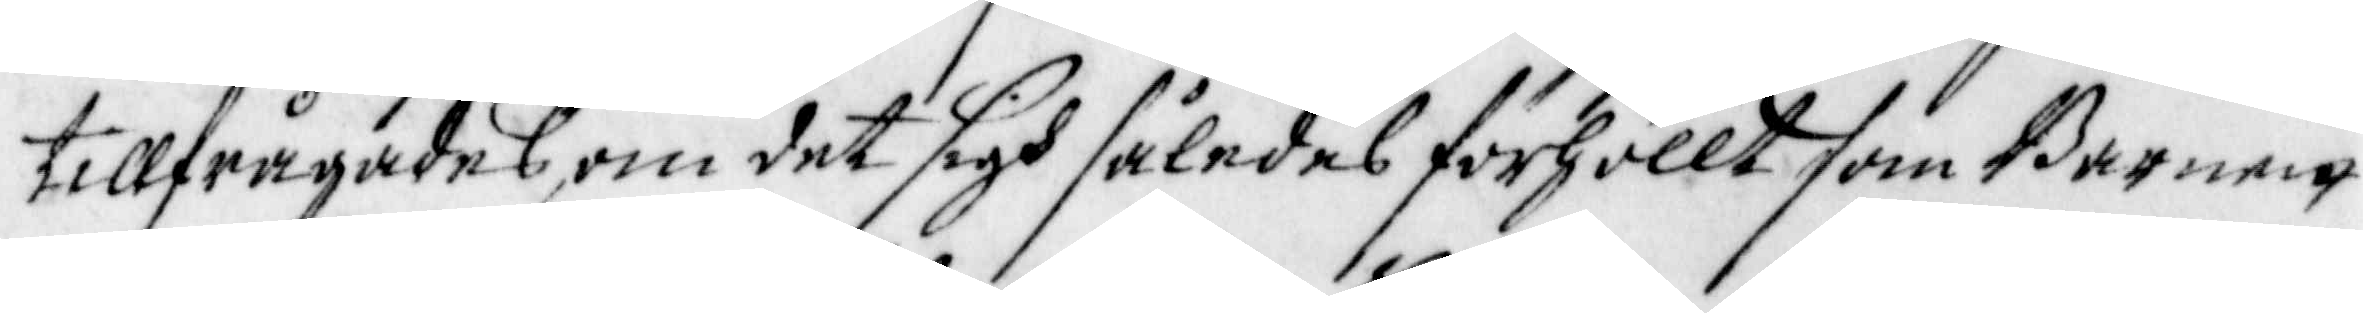tillfrågades, om det sigh således förhöllt som Barnen
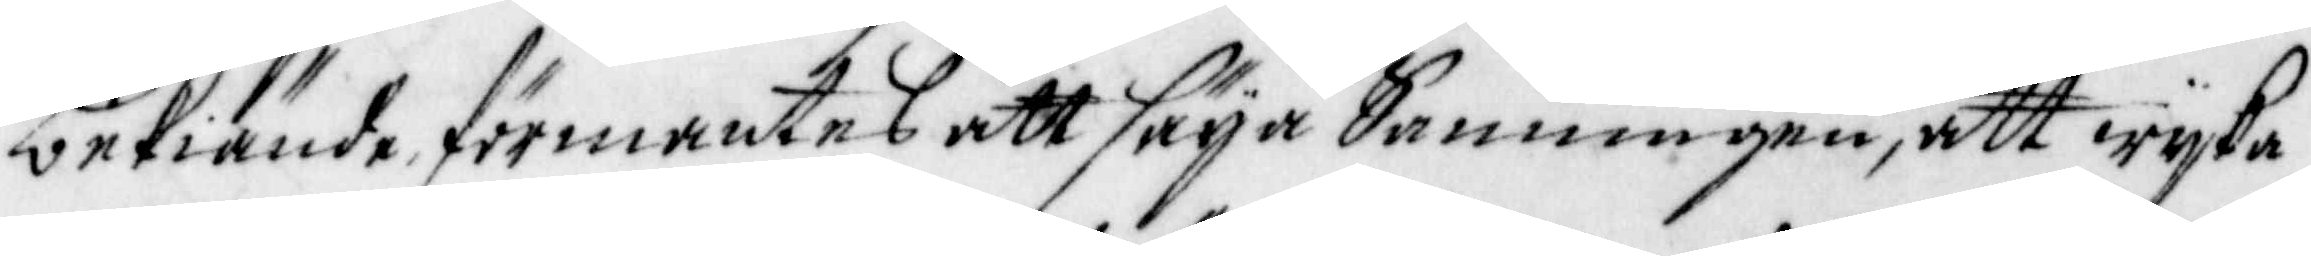bekiände, förmantes att säya Sanningen, att wijka
